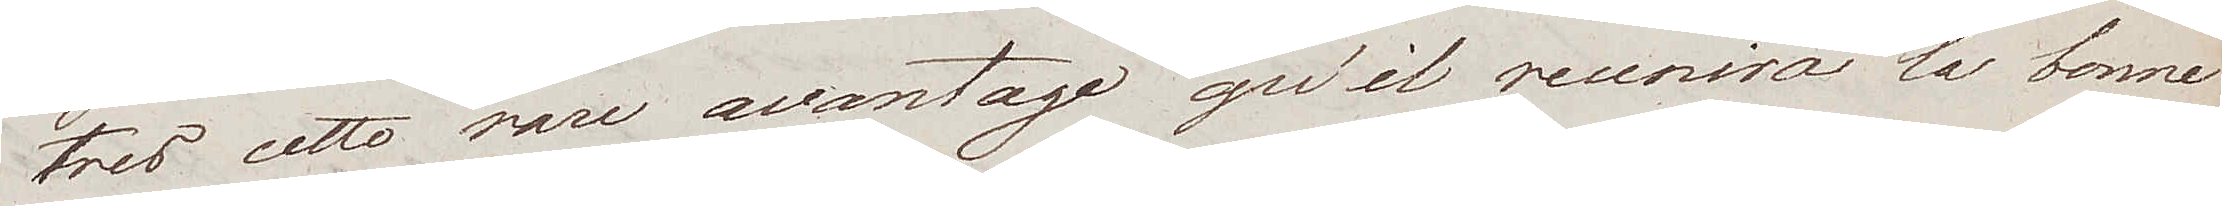tres cette rare avantage qu'il reunira la bonne
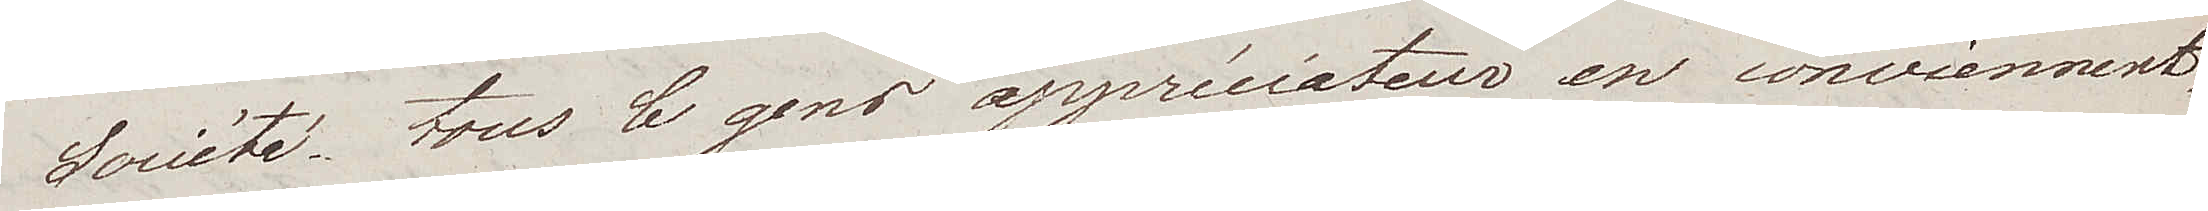Société tous le gens appréciateur en conviennent,
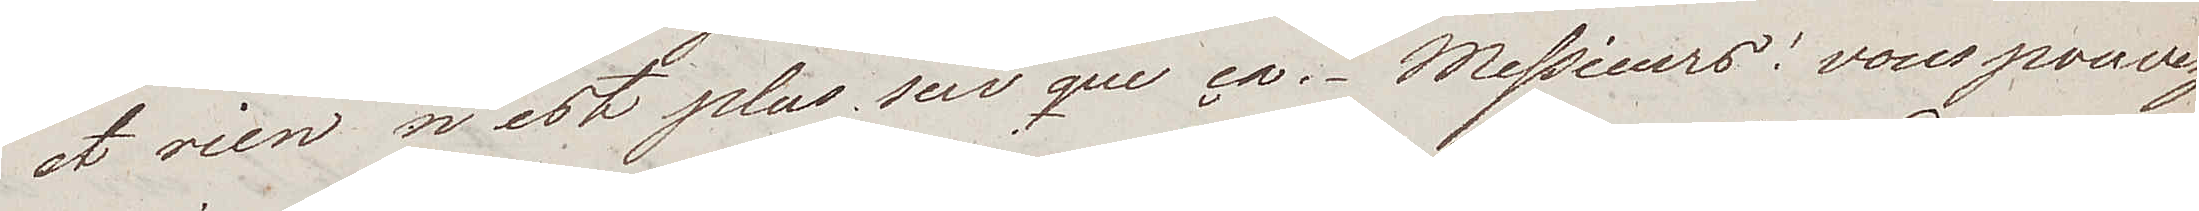et rien n'est plus sur que ça. Messieurs, vous pouvez
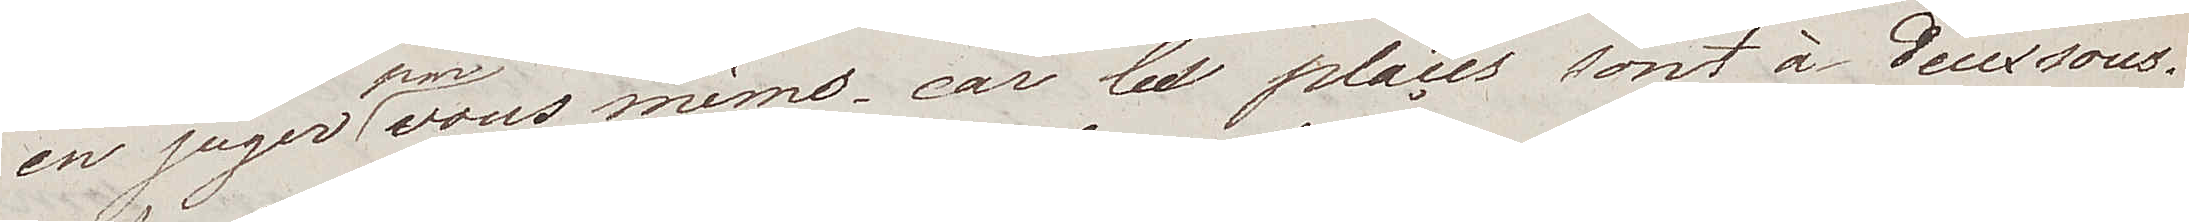en juger par vous mêms - car les plaçes sont à deux sous.
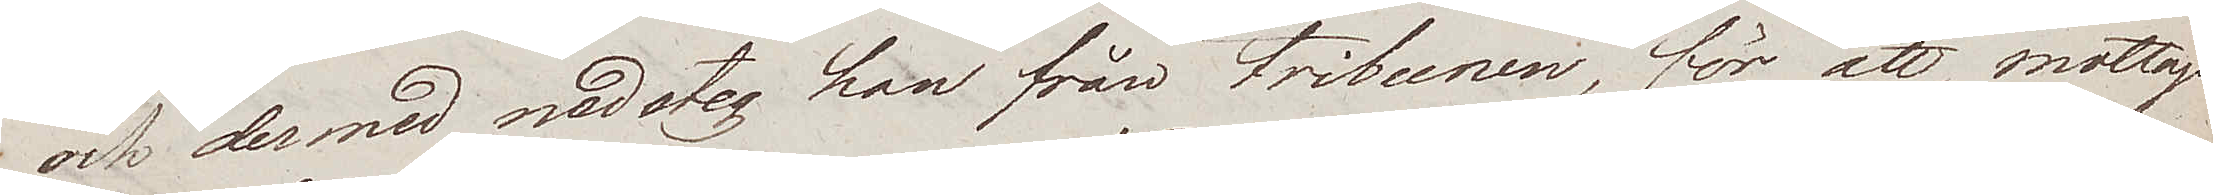och dermed nedsteg han från tribunen, för att mottaga
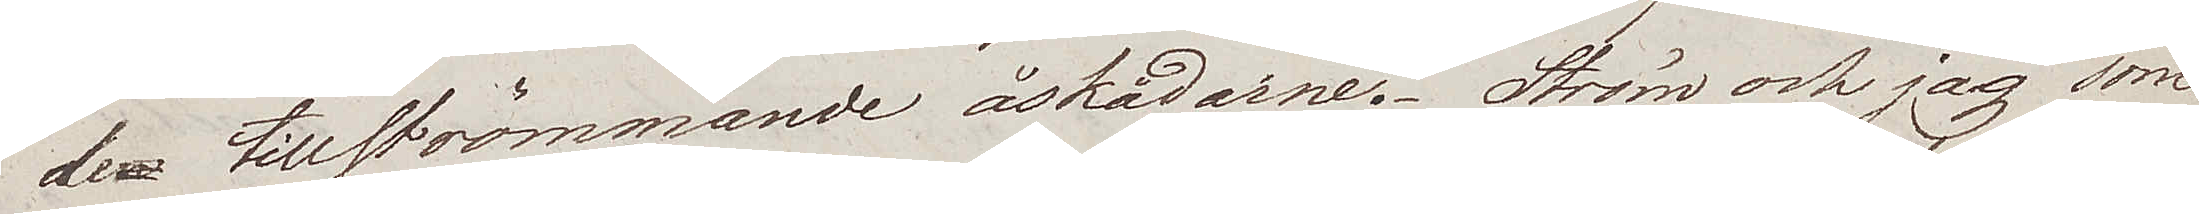de tillströmmande åskådarne. Ström och jag som
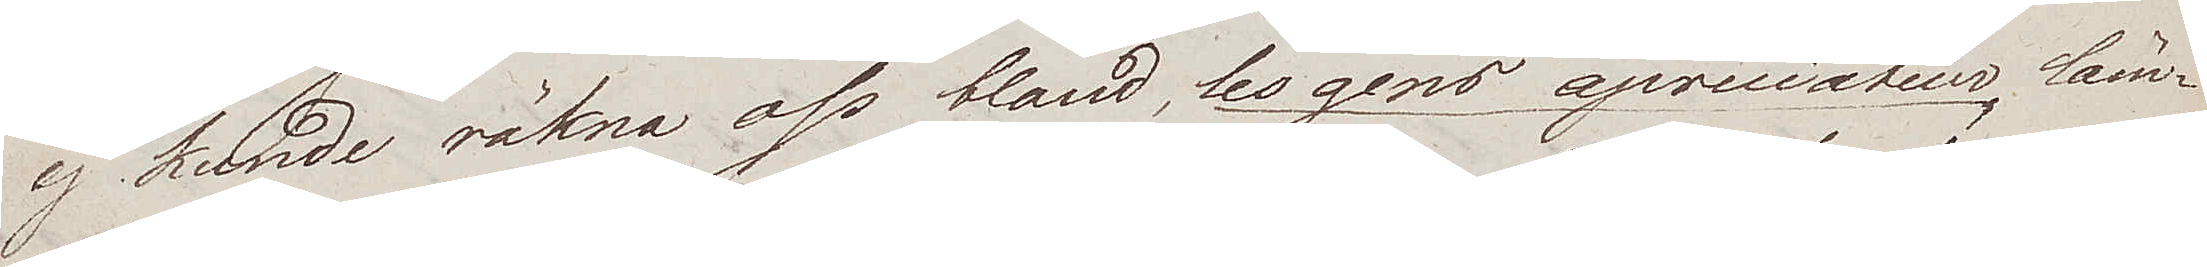ej kunde räkna oss bland, les gens apréciateur, läm¬
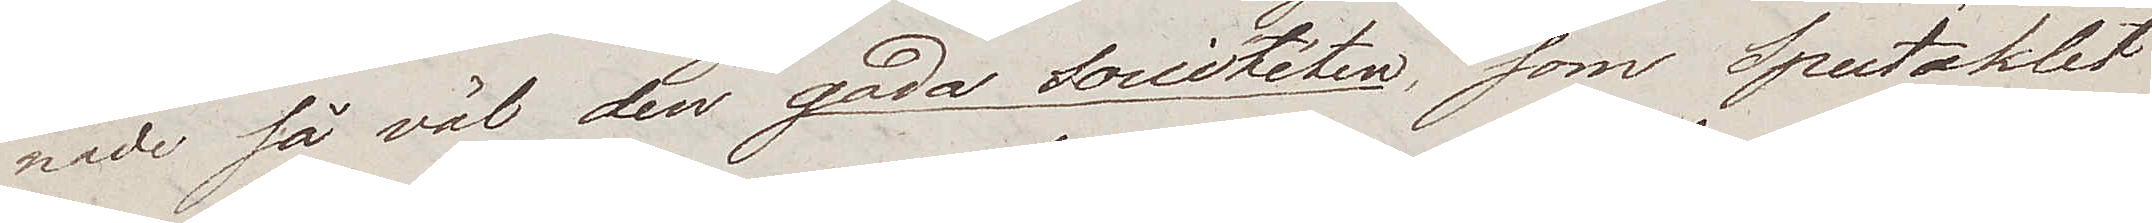nade så väl den goda Socitéten, som Spectaklet
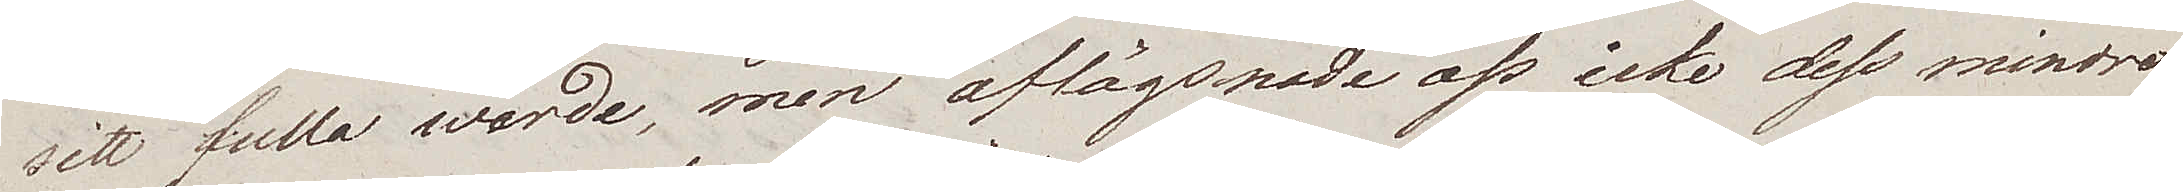sitt fulla wärde, men aflägsnade oss icke dess mindre
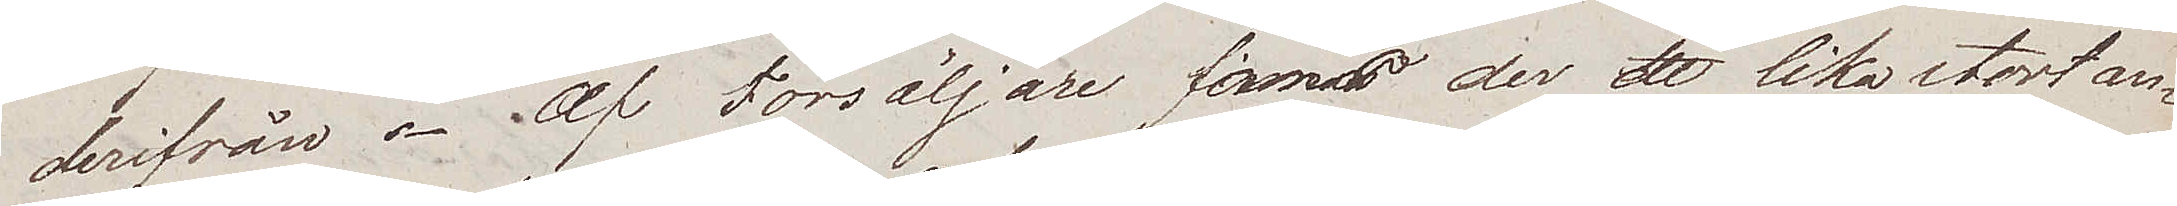derifrån. Af Försäljare finnas der ett lika stort an¬
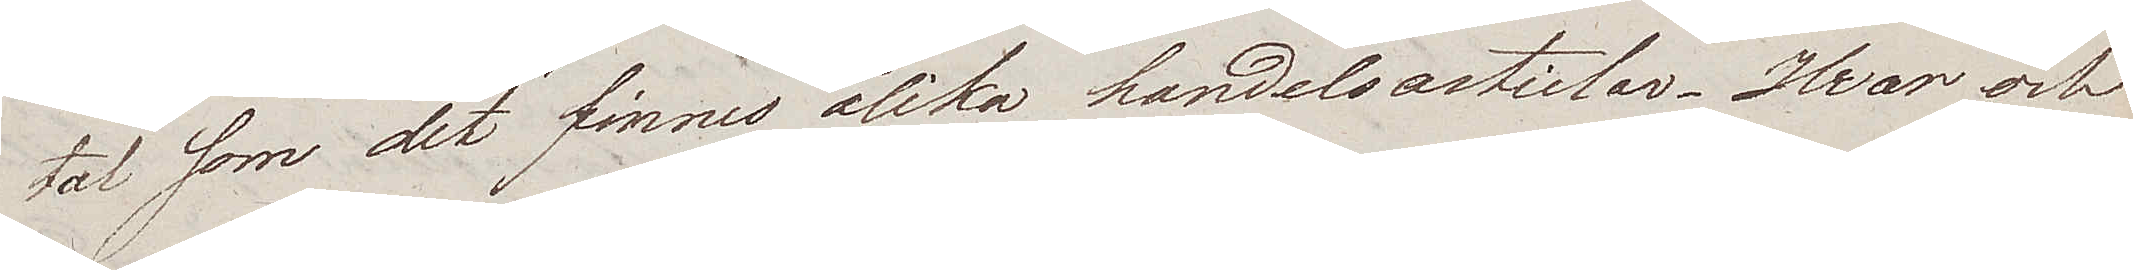tal som det finns olika handelsarticlar. Hvar och
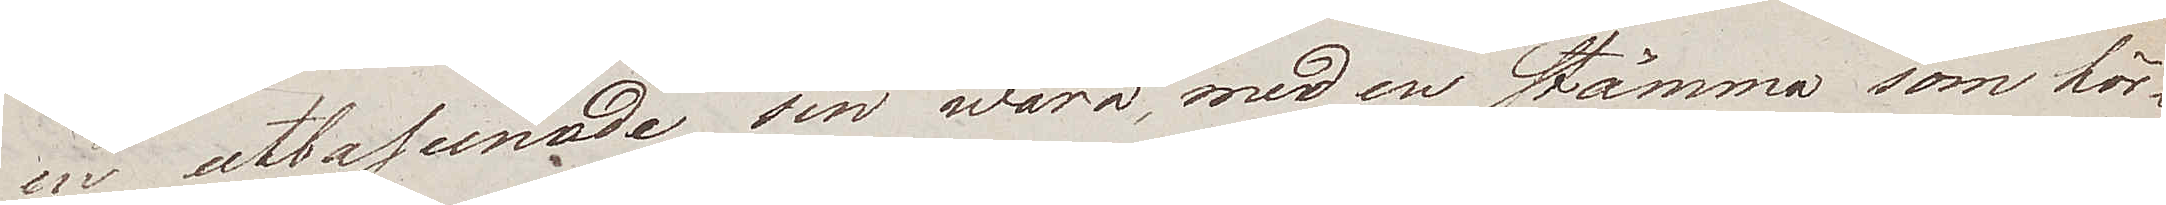en utbasunade sin wara, med en stämma som hör¬
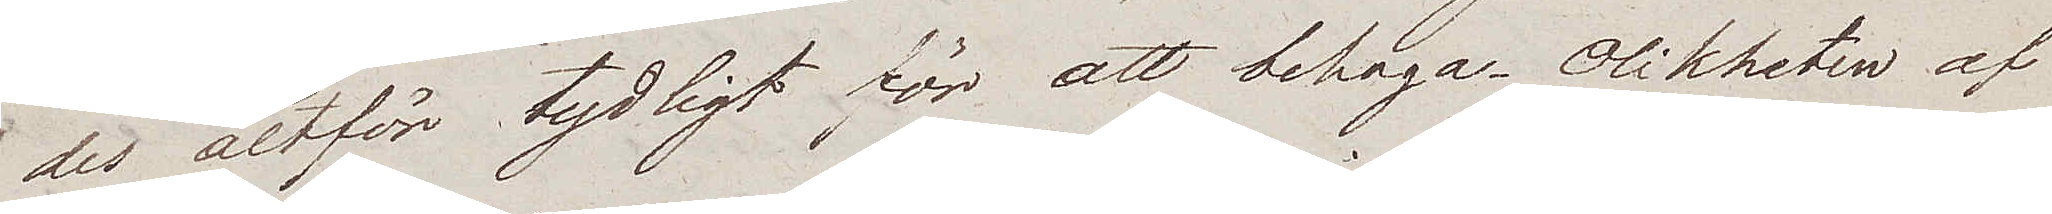det altför tydligt för att behaga. Olikheten af
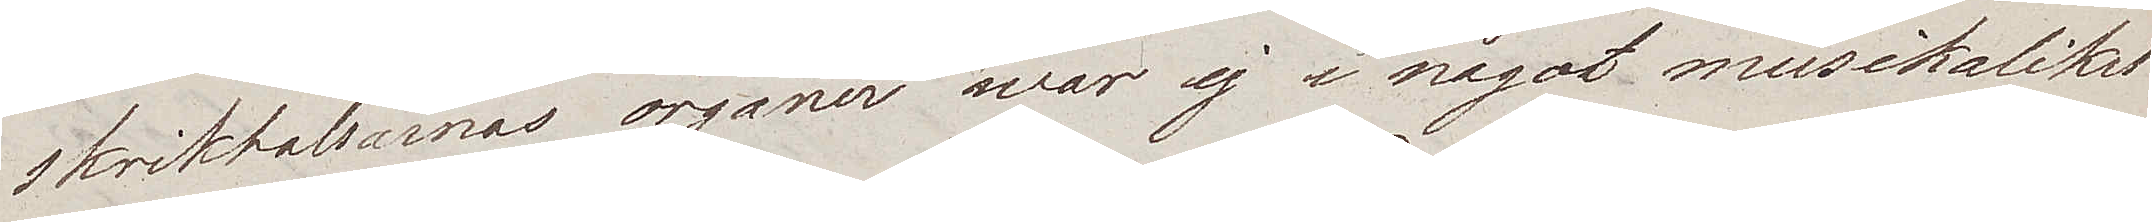skrikhalsarnas organer war ej i något musikalikst
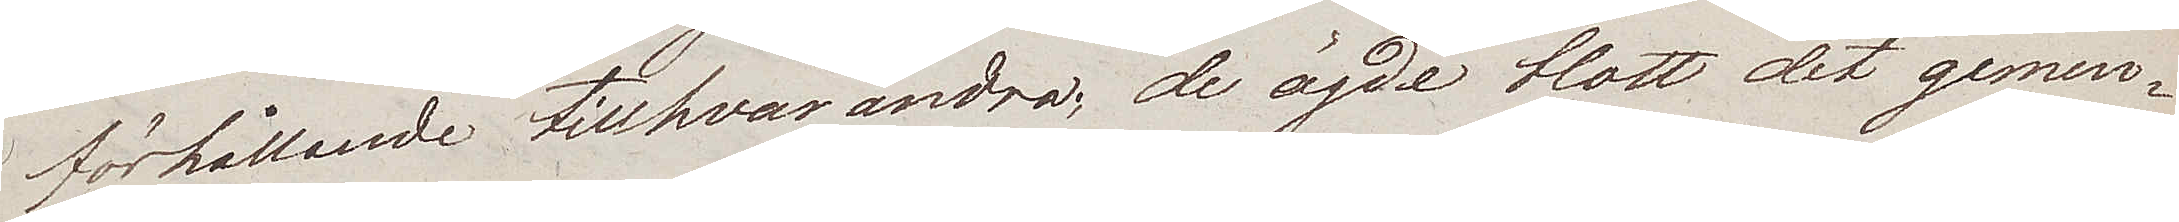förhållande till hvarandra; de ägde blott det gemen¬
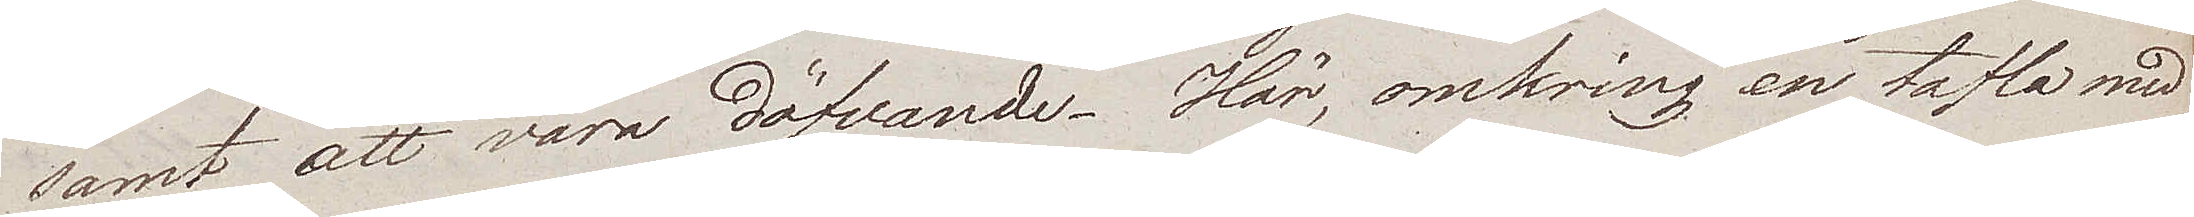samt att vara döfvande. Här, omkring en tafla med
